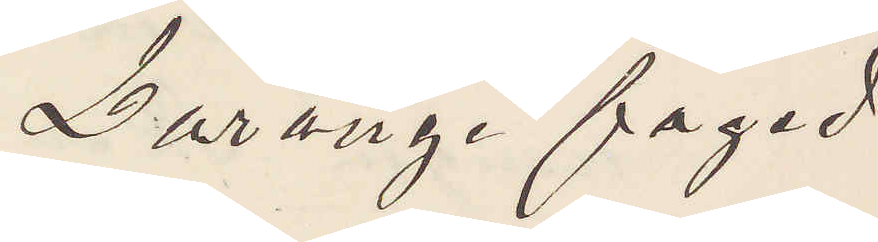Larunge foged
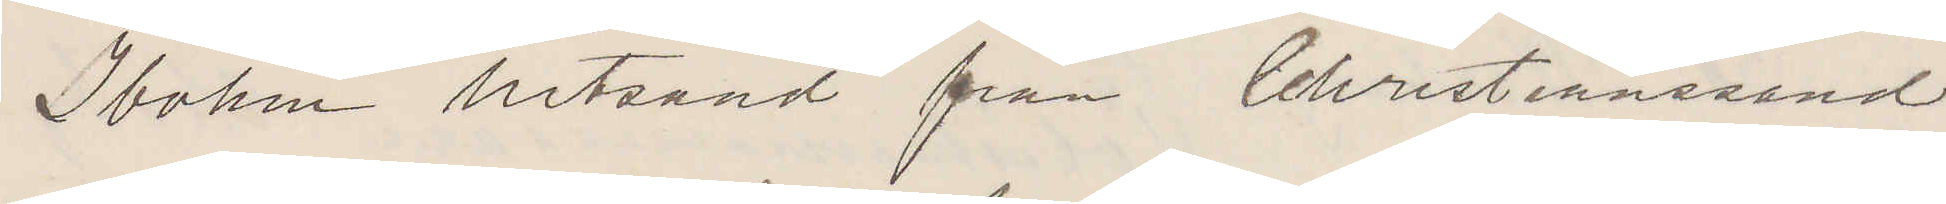Ibohm hitsänd från Christianssand
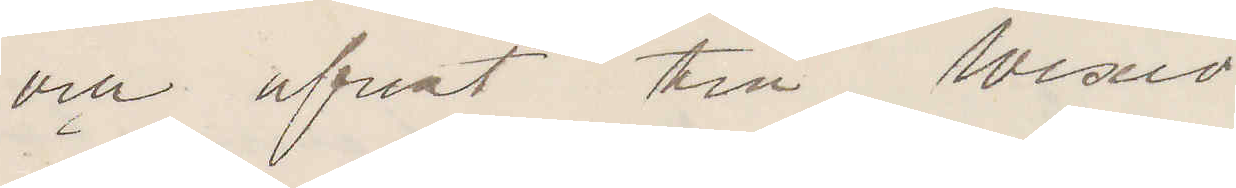och afrest till Wexiö
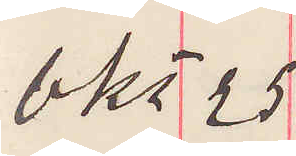Okt 25
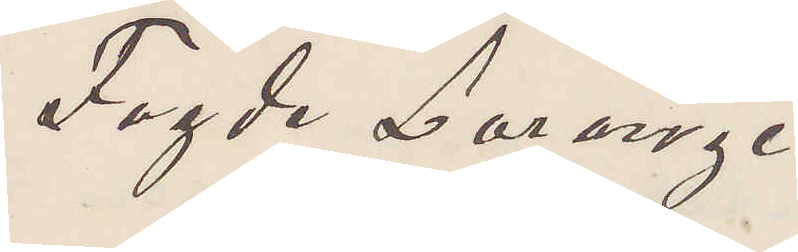Fogde Larunge
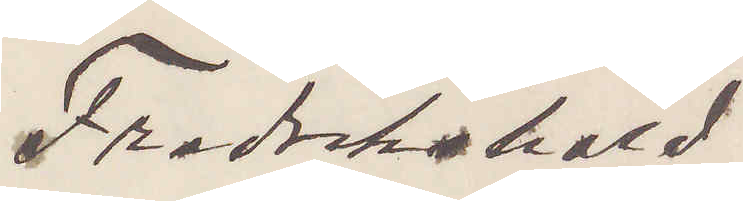Fredrikshald.
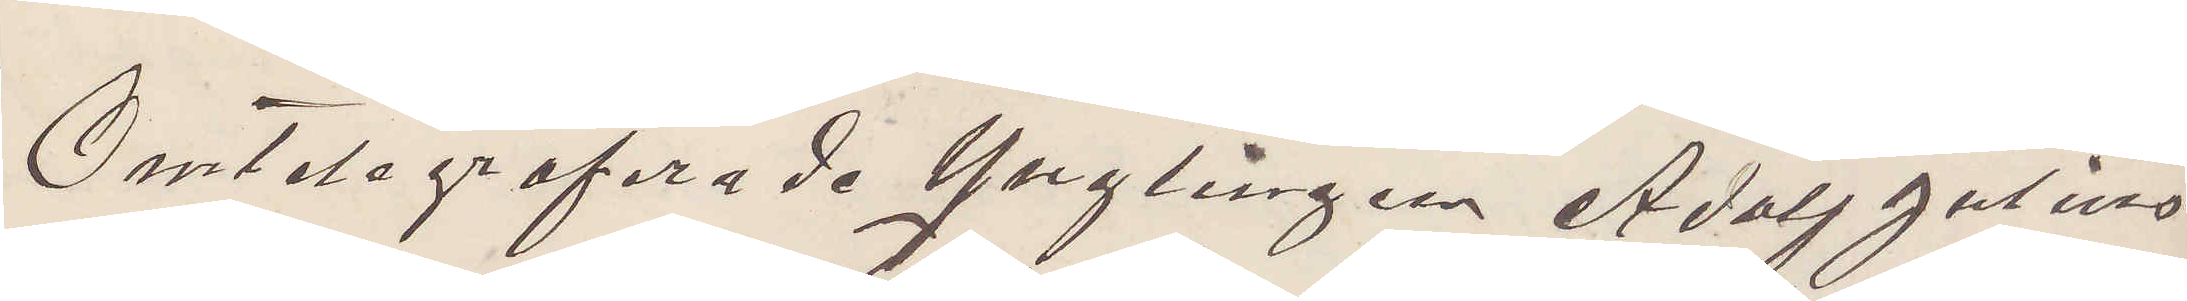Omtelegraferade Ynglingen Adolf Julius
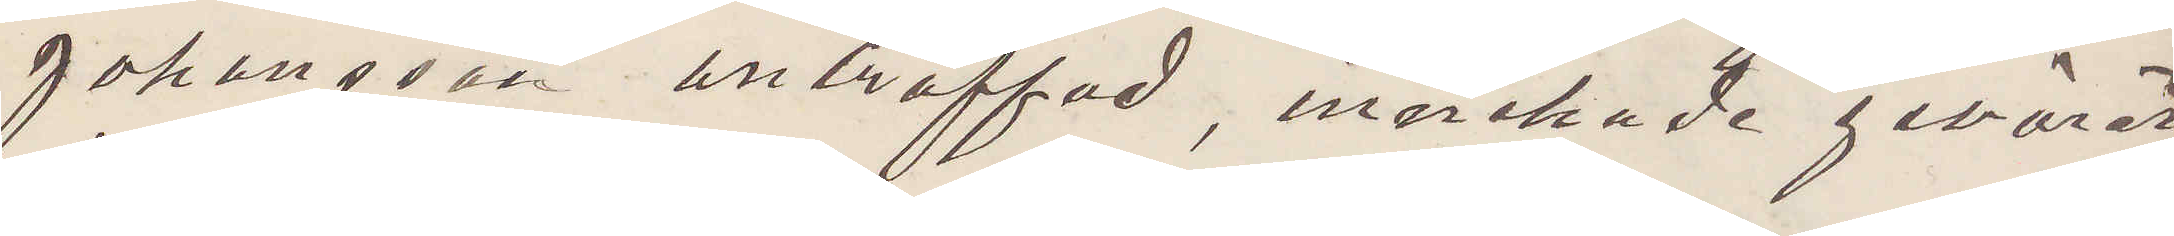Johansson anträffad, innehade geväret
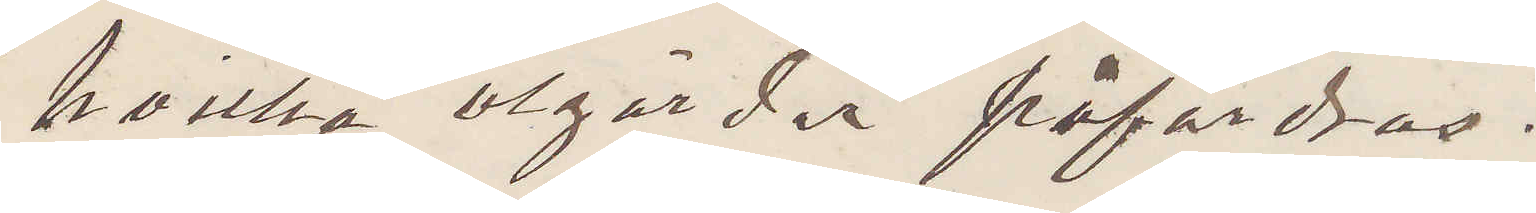hvilka åtgärder fåfordras.
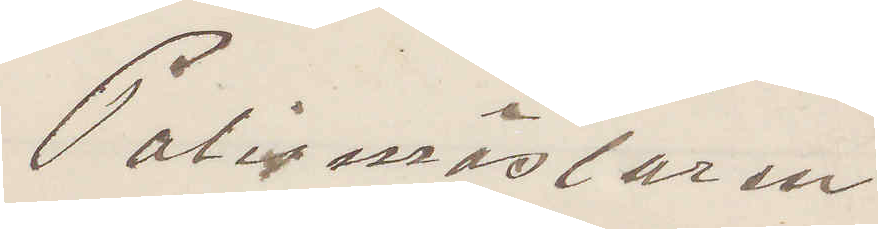Polismästaren
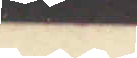1893
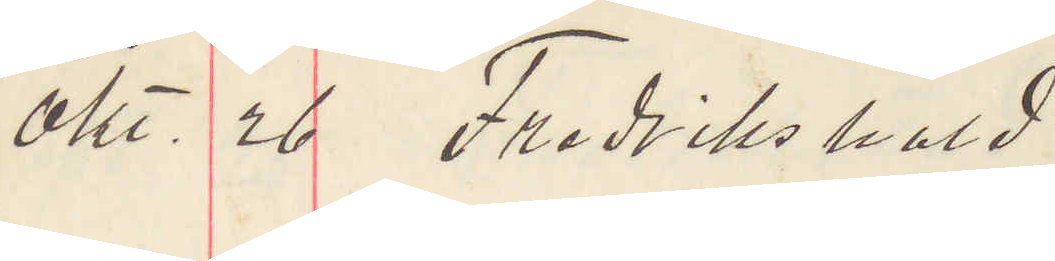Okt. 26 Fredrikshald.
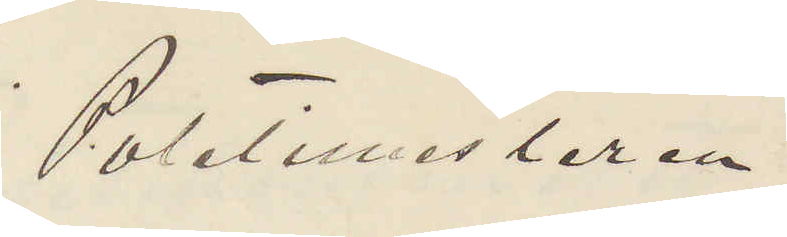Politimesteren
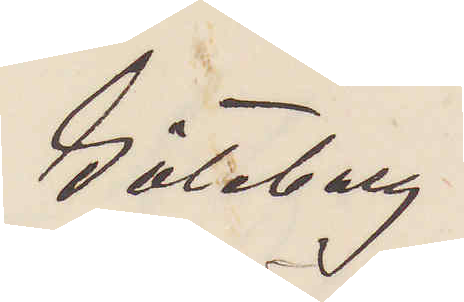Göteborg.
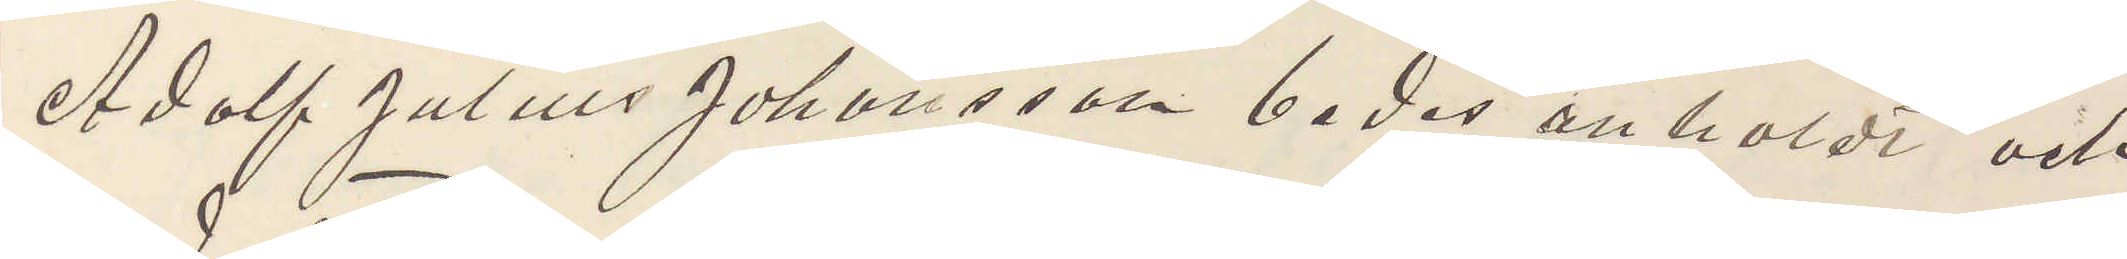Adolf Julius Johansson bedes anholdt och
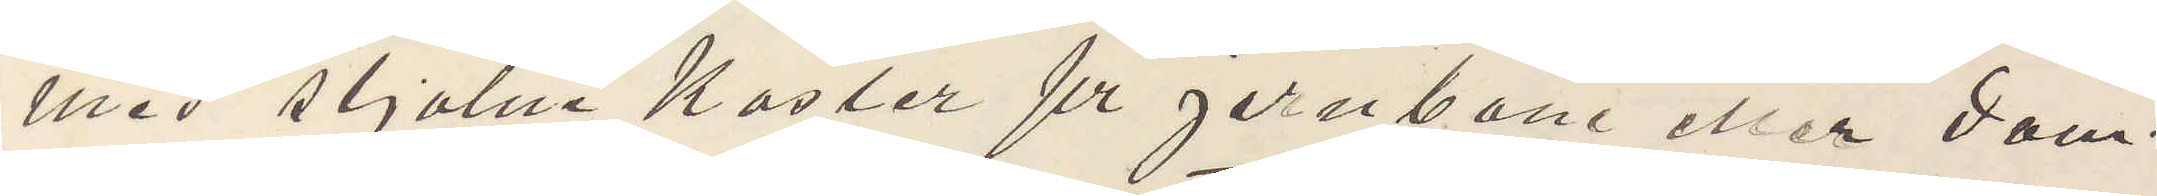med stjalne Kaster pr jernbane eller dam¬
